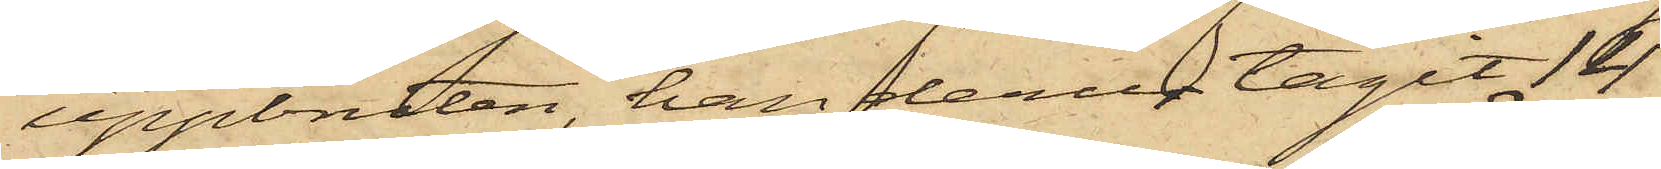uppbruten, han derur tagit 14
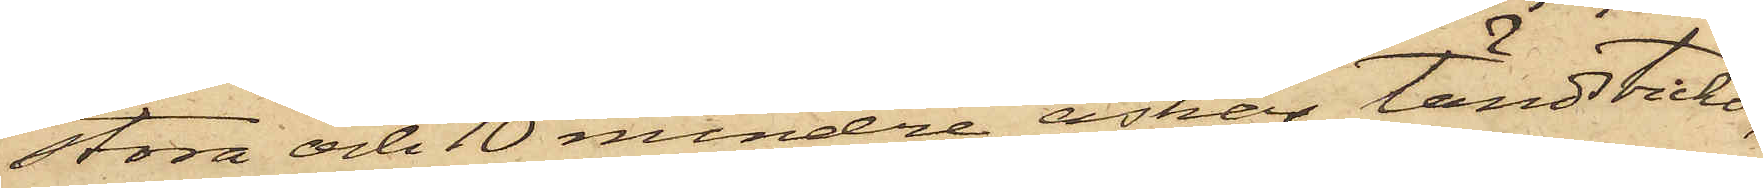stora och 10 mindre askar tändstickor,
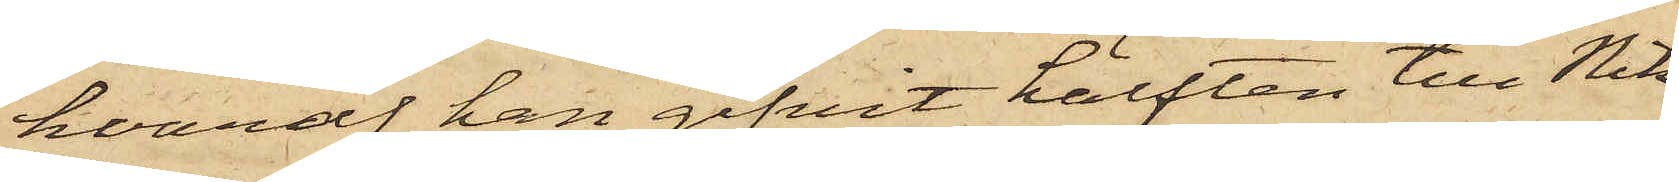hvaraf han gifvit hälften till Nik¬
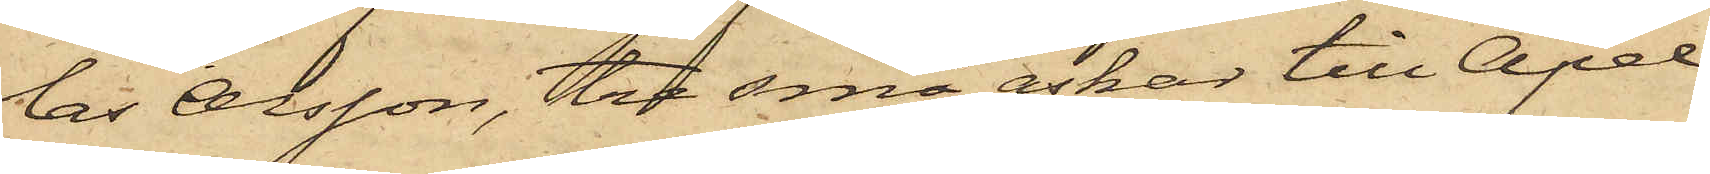las Olsson, tre små askar till Apel¬
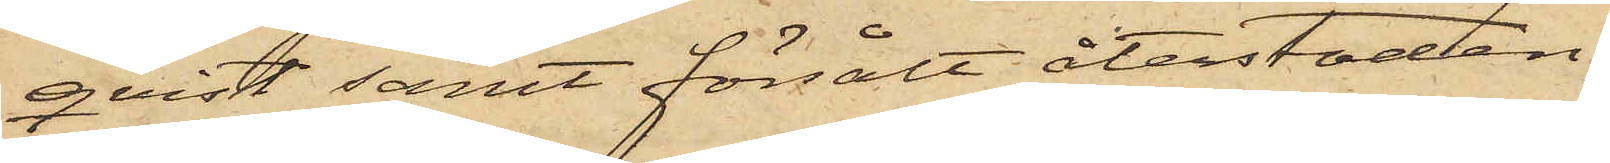qvist samt försålt återstoden,
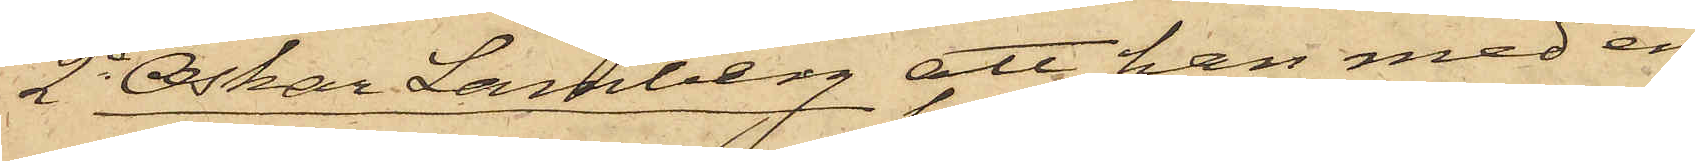2o Oskar Lamberg att han med en
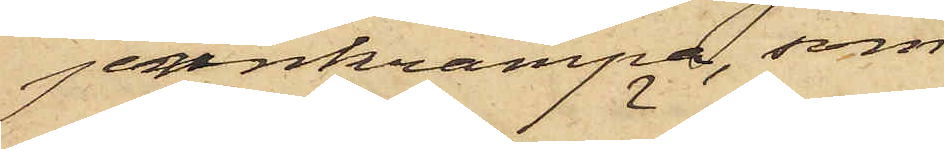jernkrampa, som
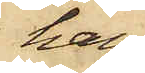han
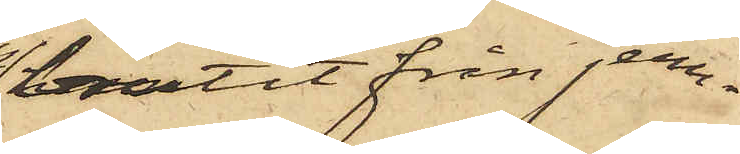brutit från jern¬
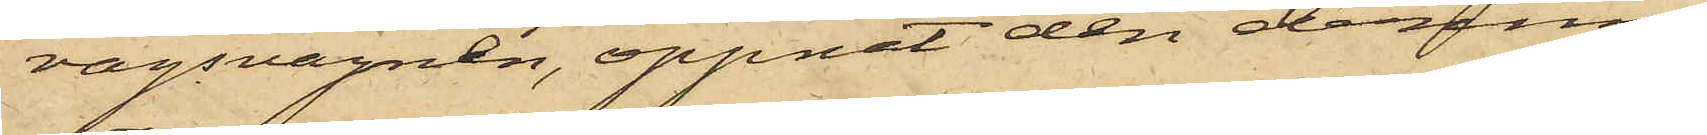vägsvagnen, öppnat den derinne
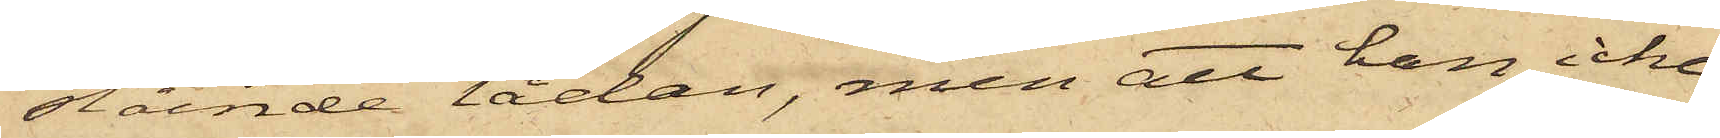stående lådan, men att han icke
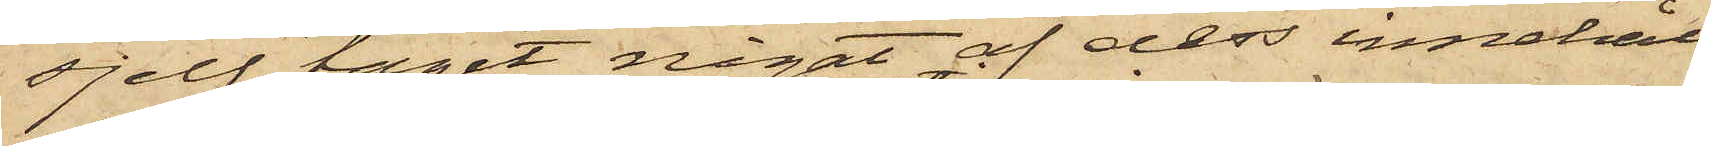sjelf tagit något af dess innehåll,
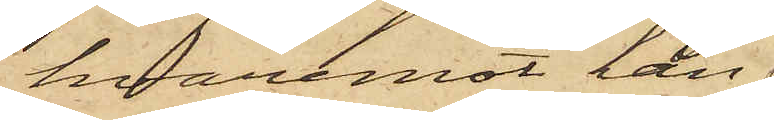hvaremot han
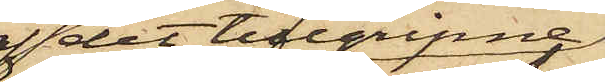af det tillgripne
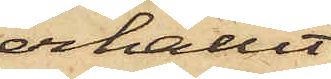erhållit
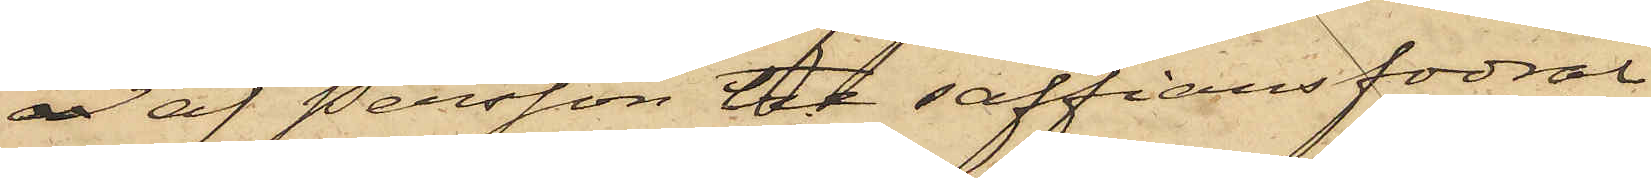 af Persson tre saffiansfodral
